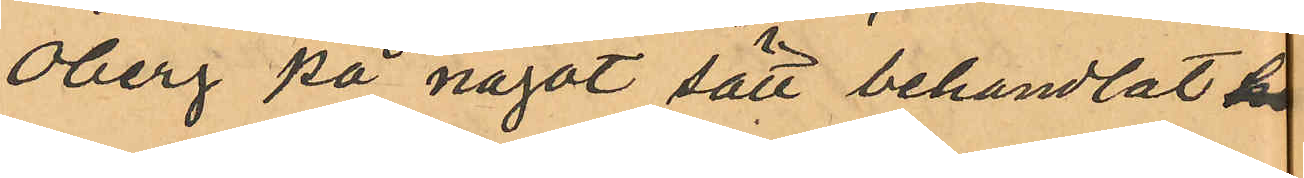Öberg på något sätt behandlat sn
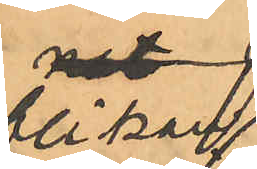flickan
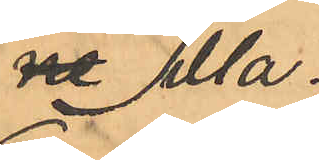illa;
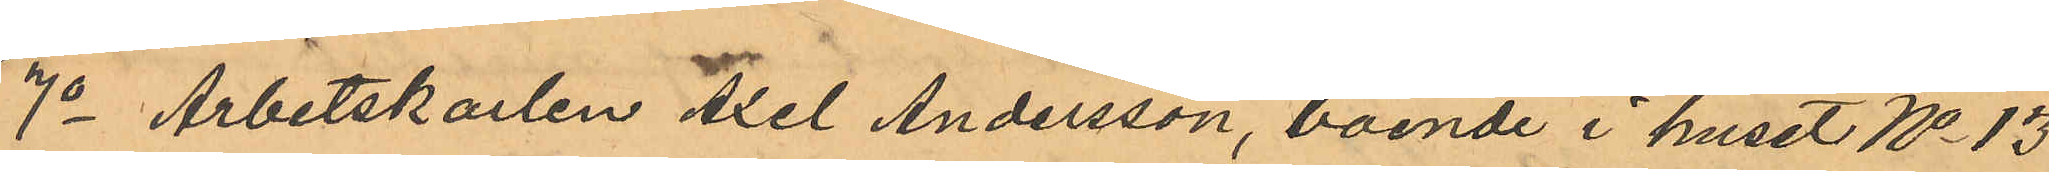7o Arbetskarlen Axel Andersson, boende i huset No 13
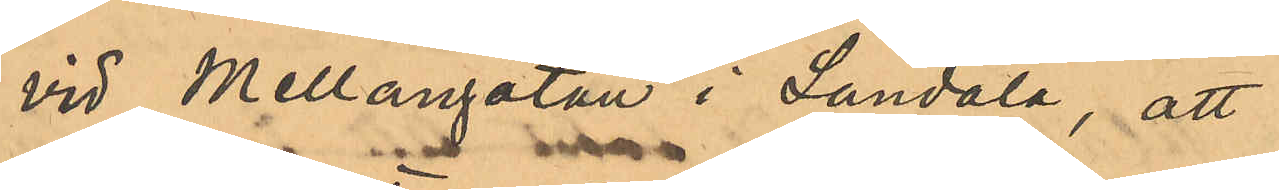vid Mellangatan i Landala, att
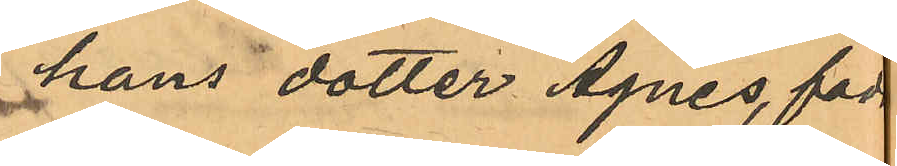hans dotter Agnes, född
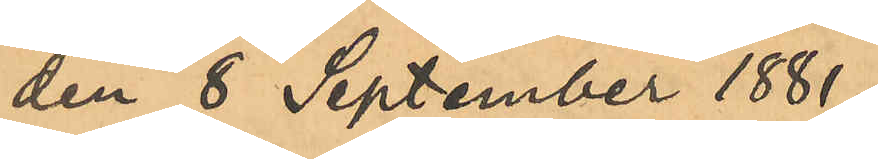den 8 September 1881,
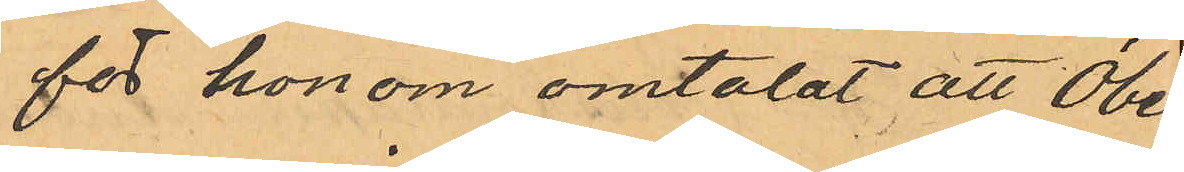för honom omtalat att Öberg,
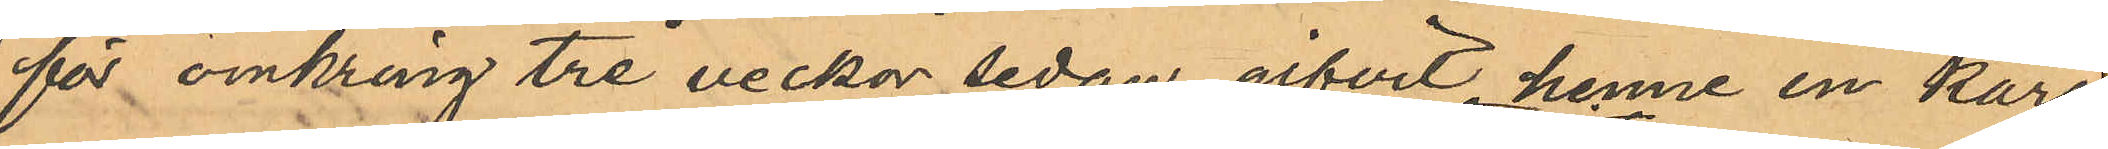för omkring tre veckor sedan gifvit henne en kara¬
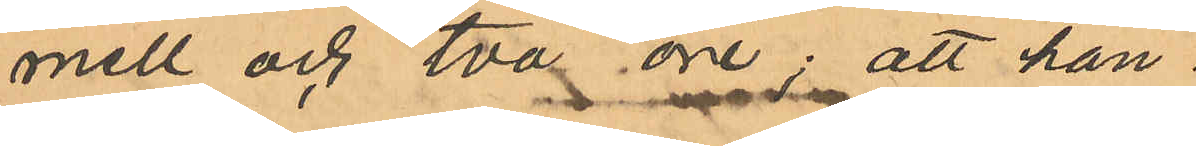mell och två öre; att han
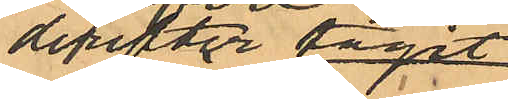derefter tagit
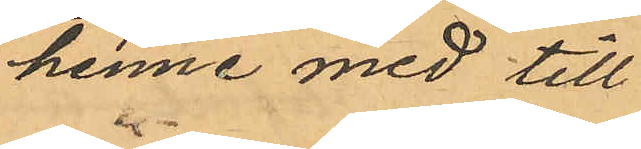henne med till
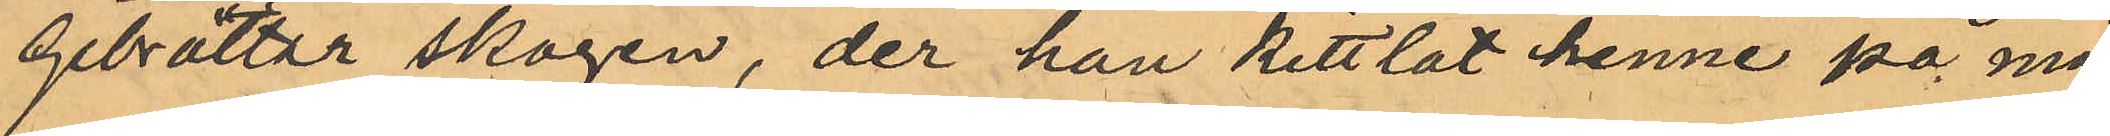Gibraltar skogen, der han kittlat henne på ma¬
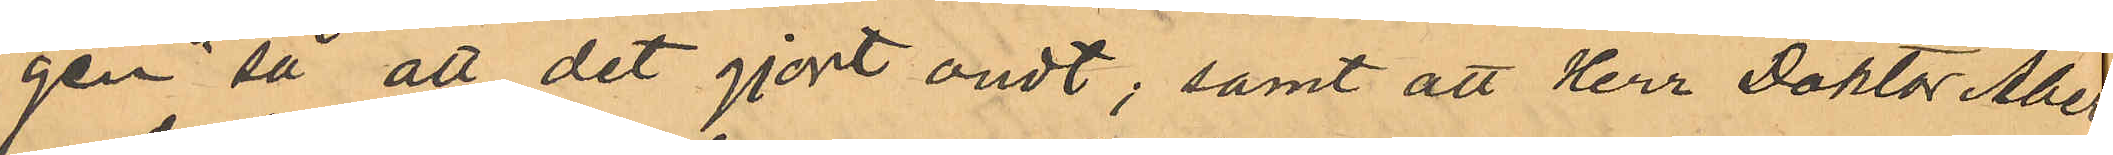gen så att det gjort ondt; samt att Herr Doktor Åberg
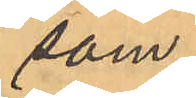som
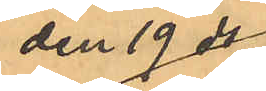den 19 ds
